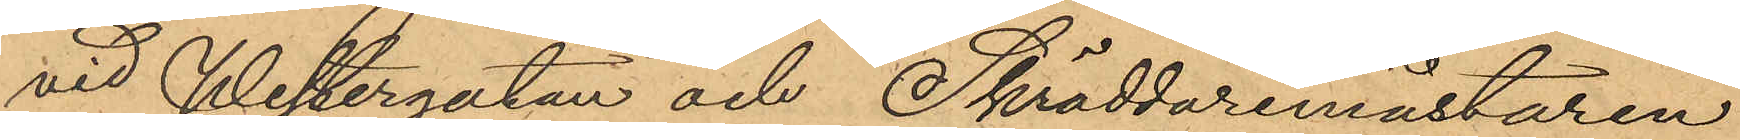vid Westergatan och Skräddaremästaren
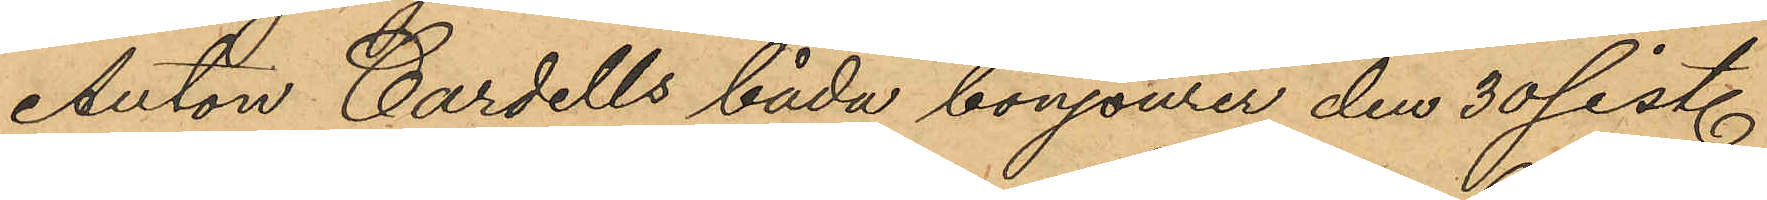Anton Cardells båda bonjourer den 30 sist.
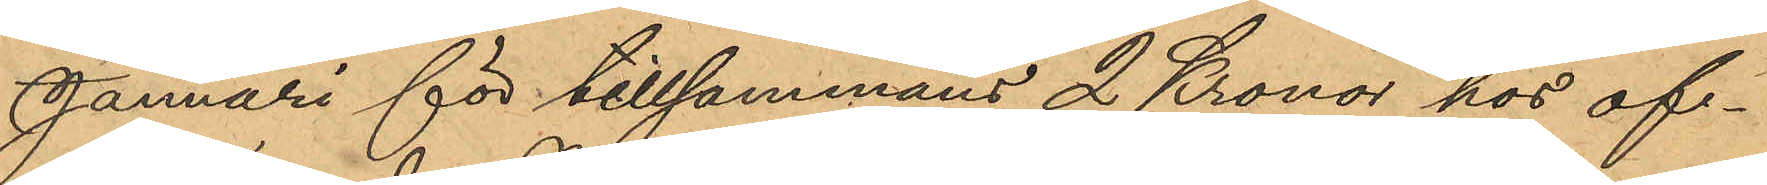Januari för tillsammans 2 Kronor hos of¬
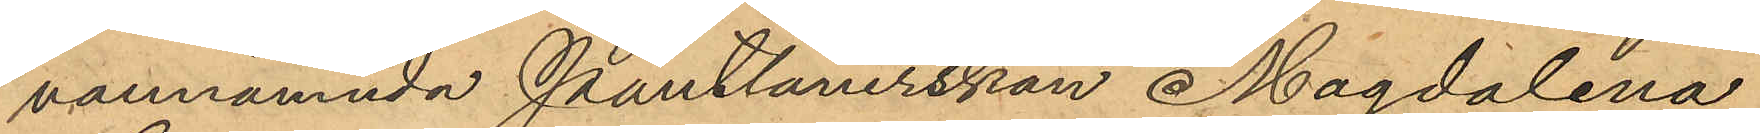vannämnda Pantlånerskan Magdalena
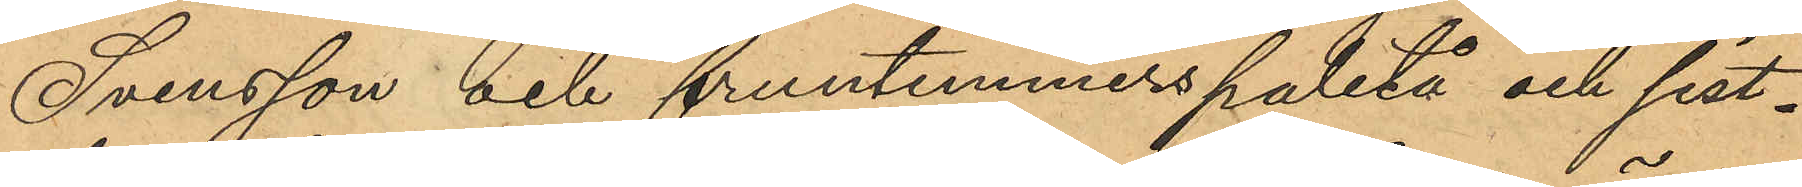Svensson och fruntimmerspaletå och sist¬
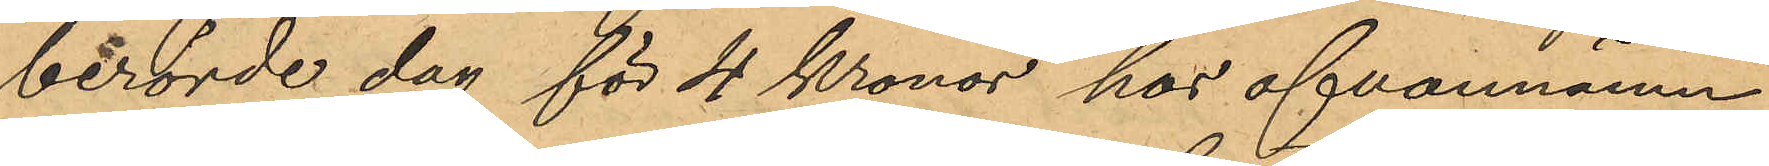berörde dag för 4 Kronor hos ofvannämn¬
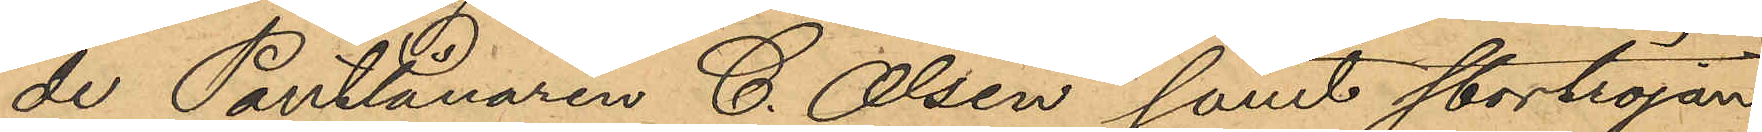de Pantlånaren C. Olsen samt stortröjan
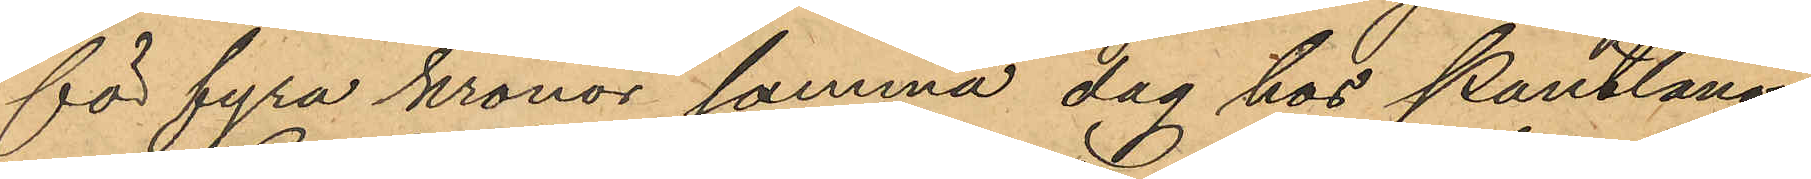för fyra kronor samma dag hos Pantlåna¬
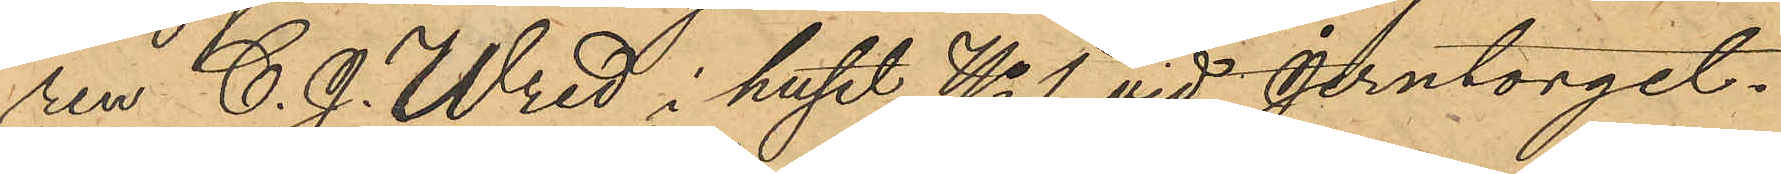ren C. J. Wred i huset No 1 vid Jerntorget.
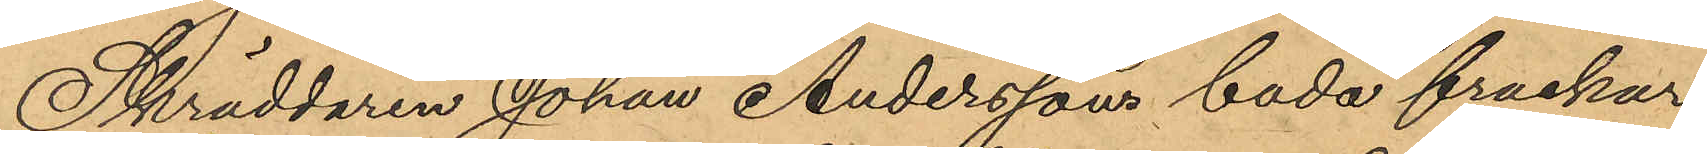Skräddaren Johan Anderssons bada frackar
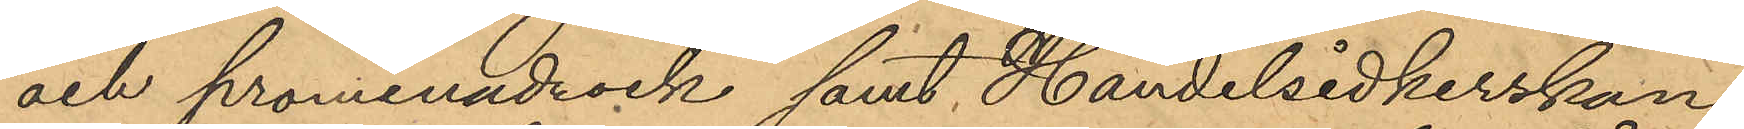och promenadrock samt Handelsidkerskan
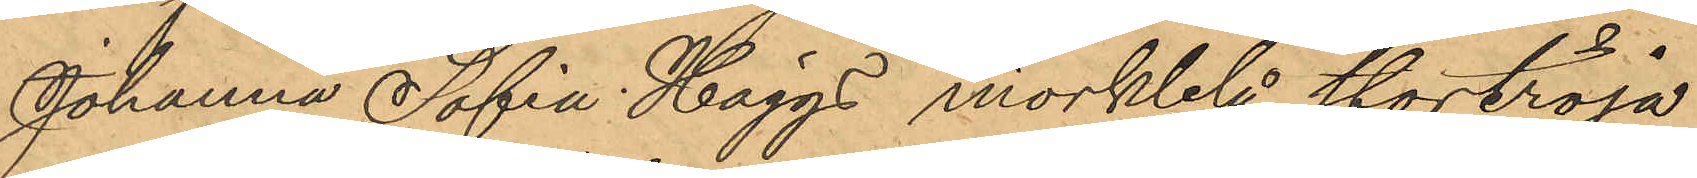Johanna Sofia Häggs mörkblå stortröja
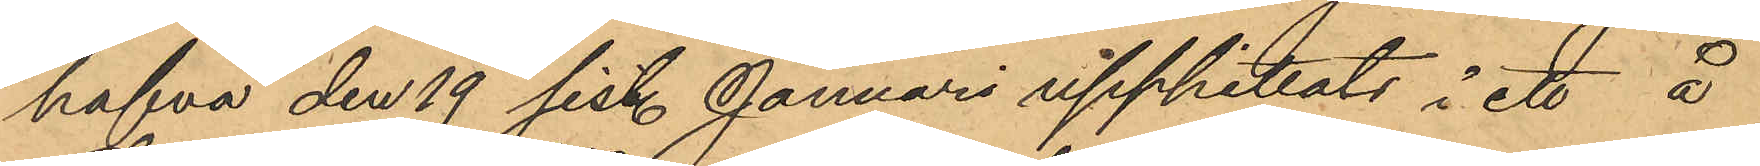hafva den 19 sist. Januari upppittats i ett å
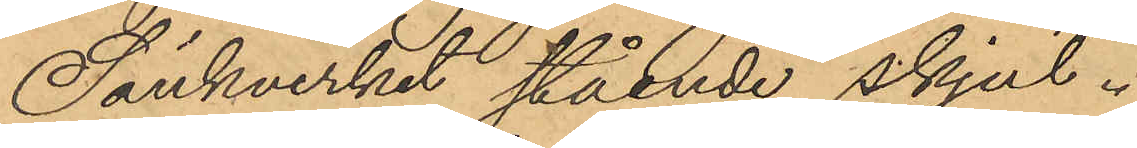Sänkverket stående skjul.
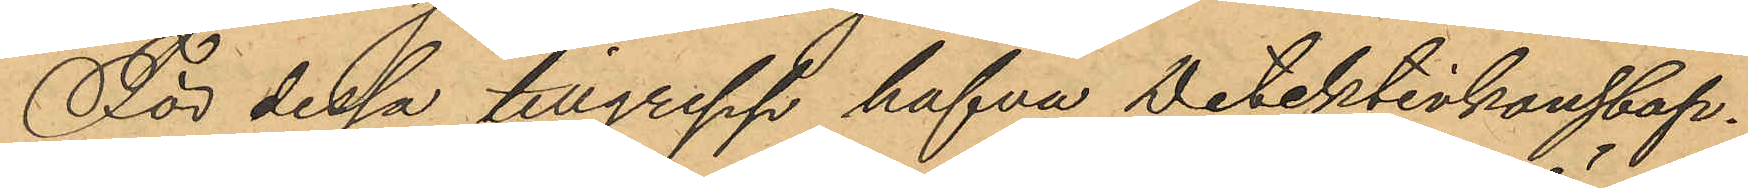För dessa tillgrepp hafva Detektivkonstap¬
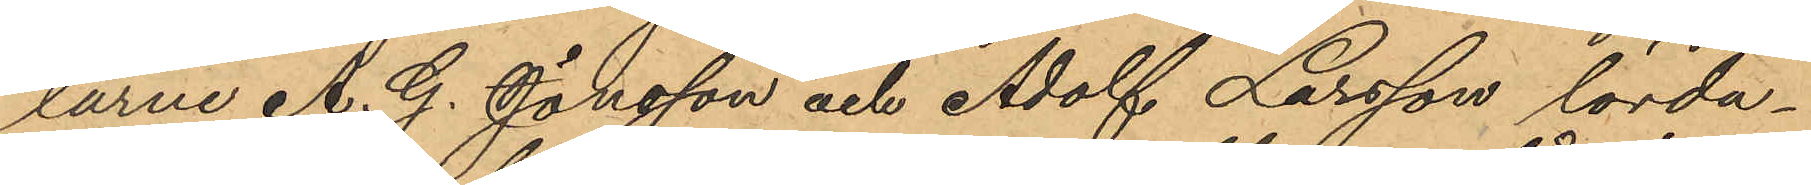larne A. G. Jönsson och Adolf Larsson lörda¬
